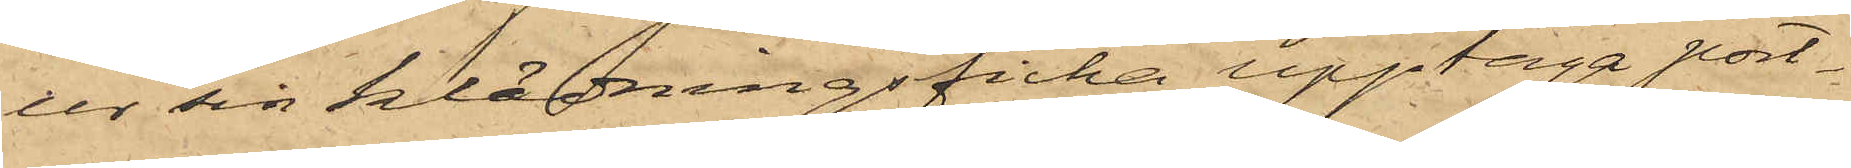ur sin klädningsficka upptaga port¬
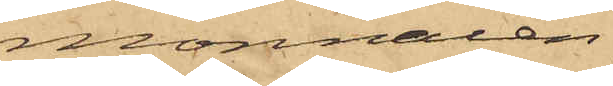monnaien,
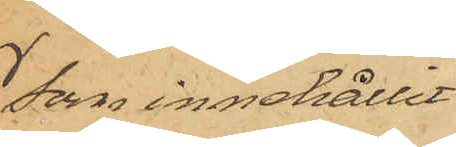som innehållit
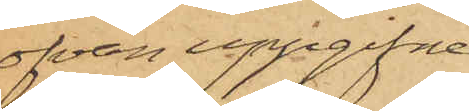ofvan uppgifna
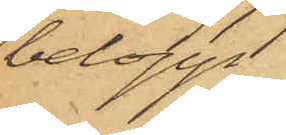belopp
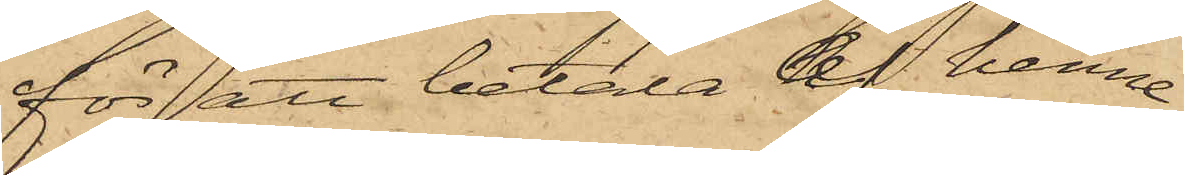för att betala af henne
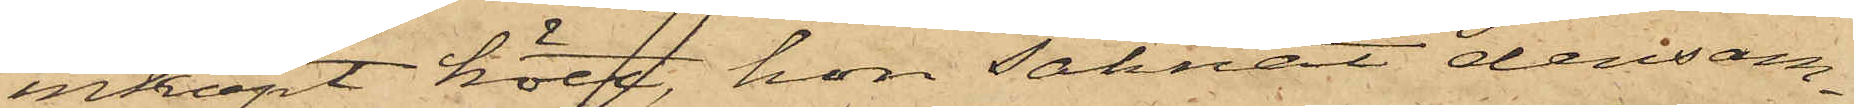inköpt kött, hon saknat densam¬
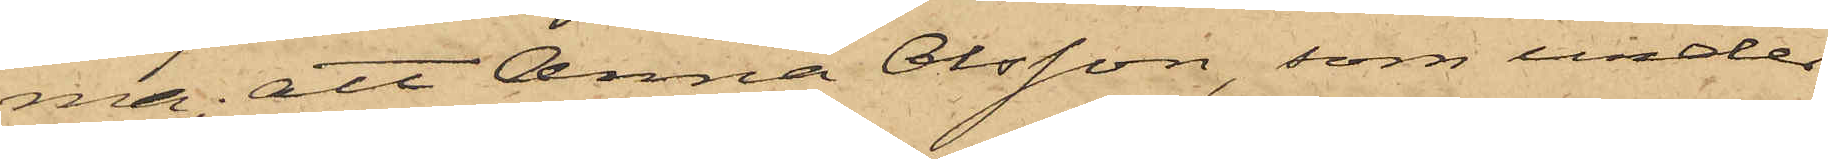ma; att Anna Olsson, som under
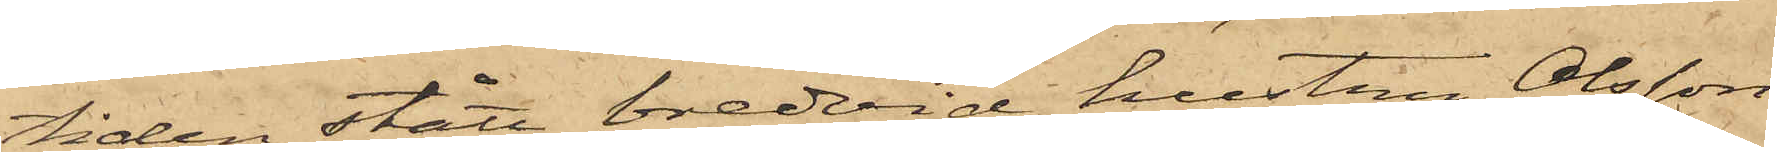tiden stått bredvid hustru Olsson
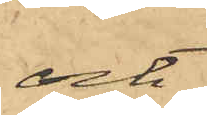och
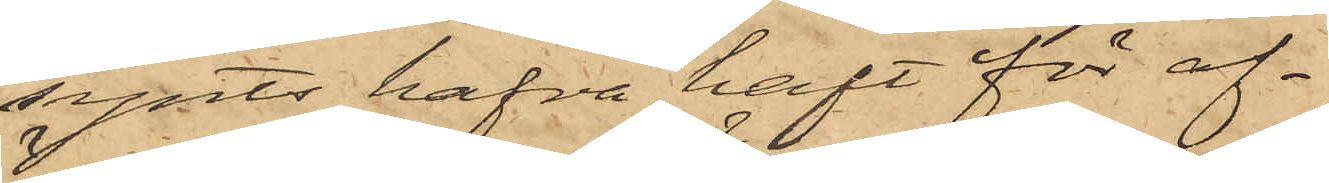synts hafva haft för af¬
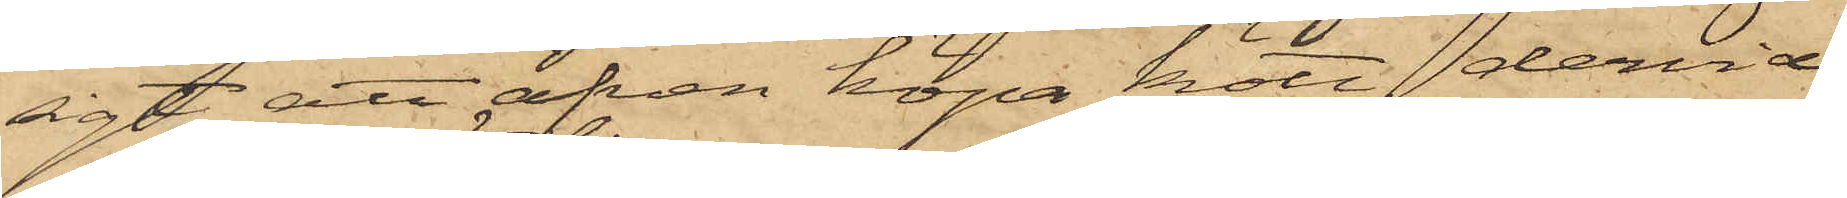sigt att äfven köpa kött, dervid
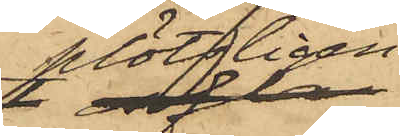plötsligen
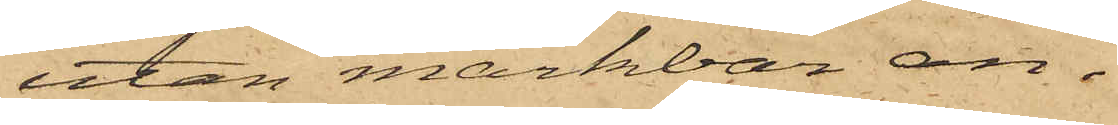utan märkbar an¬
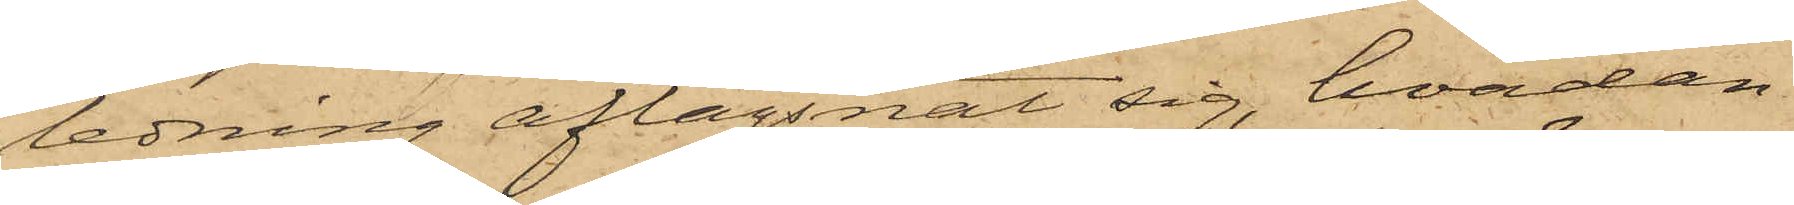ledning aflägsnat sig, hvadan
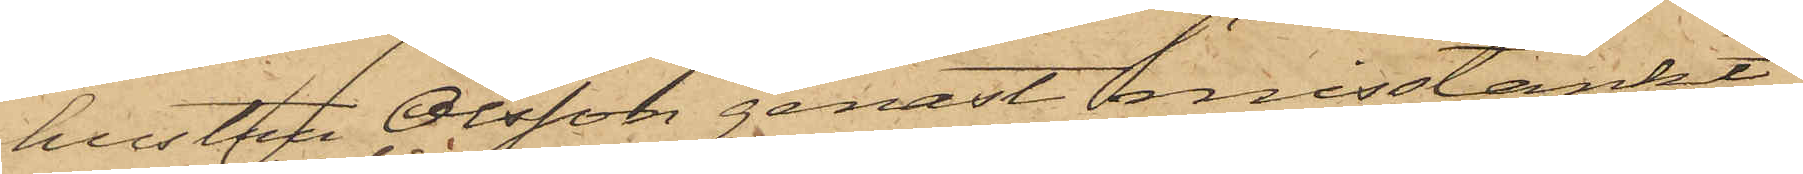hustru Olsson genast misstänkt
